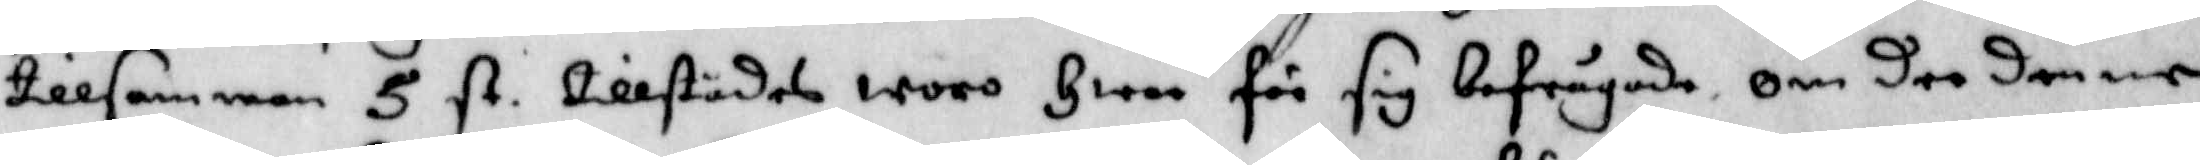tillsammans 5 st. tillstädes woro Hwar för sig befrågade om dee denne
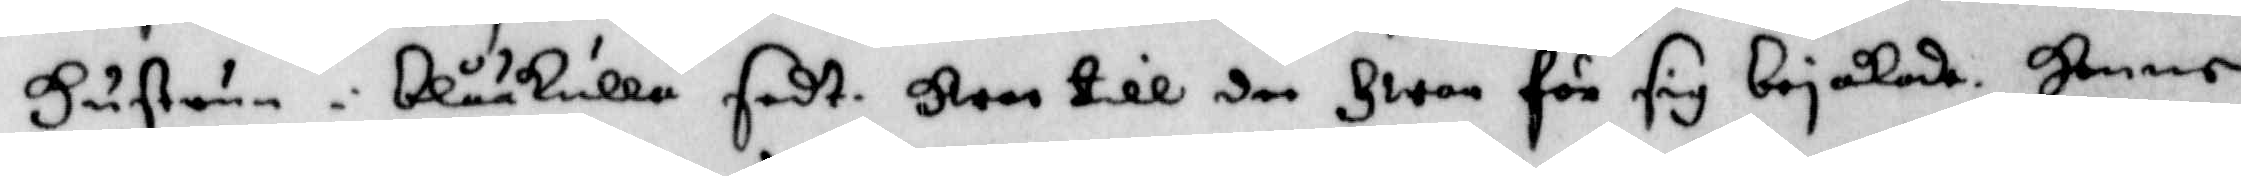Hustrun i blåkulla sedt. Hwar till dee Hwar för sig bejakade. Henne
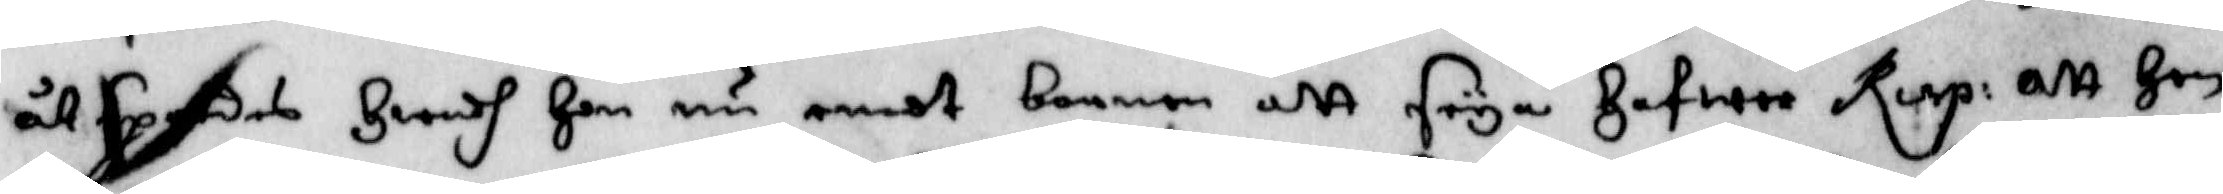åtspordes Hwadh Han nu emot barnen att seya Hafwer Resp: Att Hon
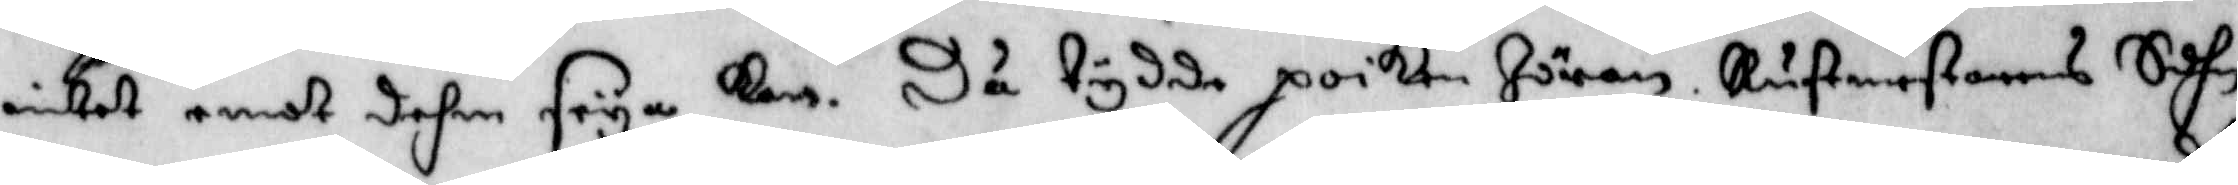intet emot dehm seya kan. Då tydde poiken Jöran Rustmestarens Sohn
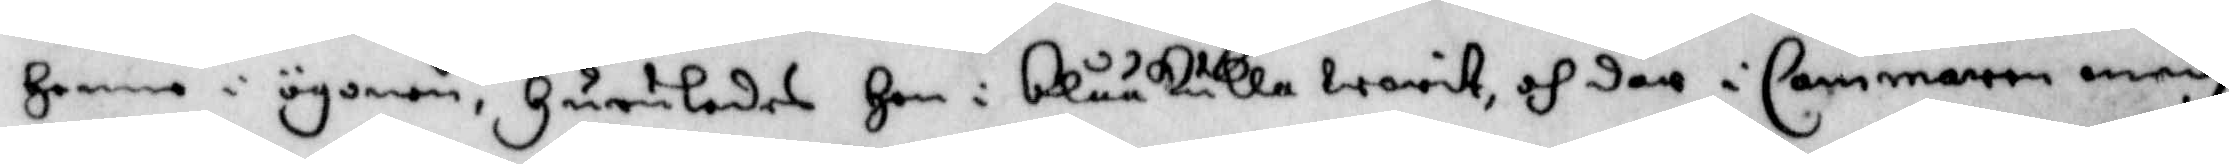Henne i ögonen, Huruledes Hon i blåkulla warit, och där i Cammaren medh
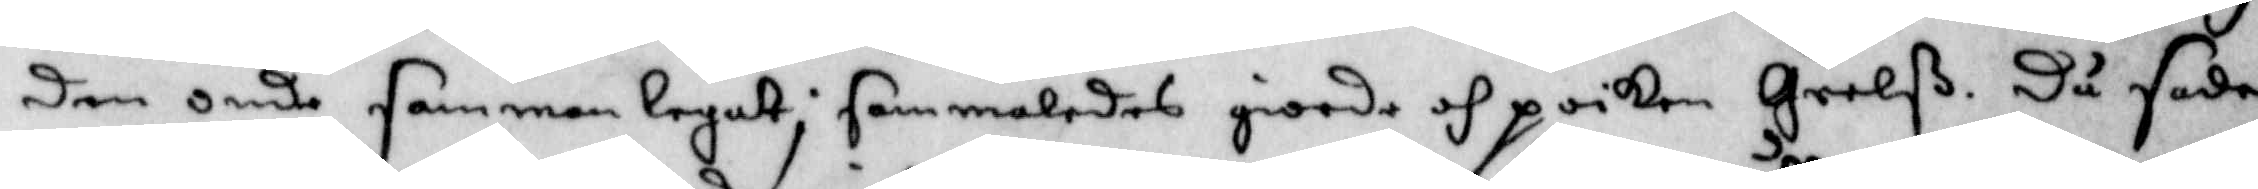den onde sammanlegat; sammaledes giorde och poiken Grelß. Då sade
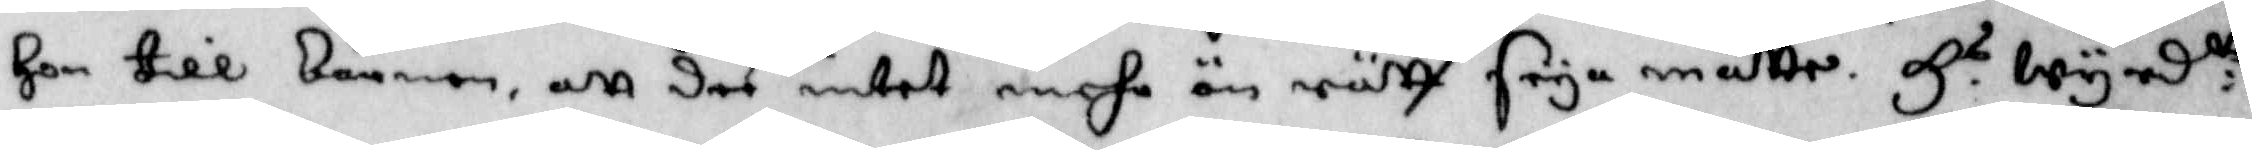Hon till barnen, Att dee intet mehr än rätt seya måtte. H.s wyrd:tt
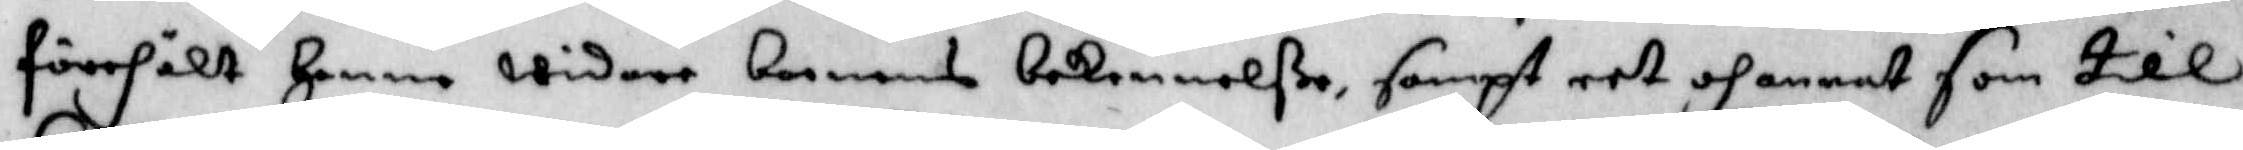förehölt Henne widare barnens bekennelße, sampt eet och annat som till
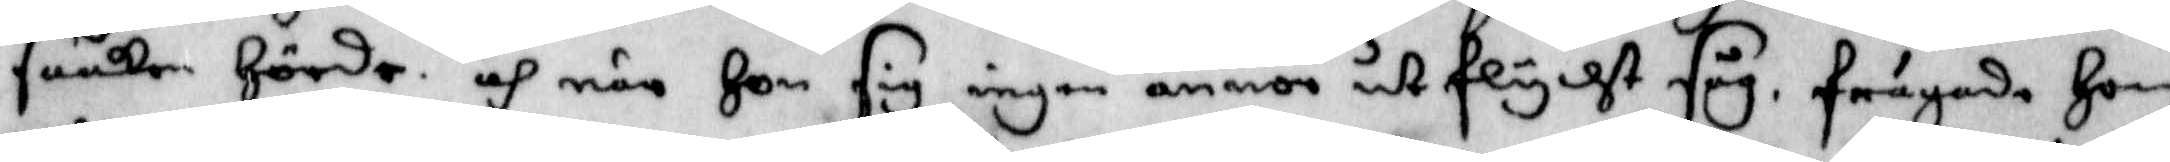saaken Hörde. och när Hon sig ingen annor utflycht såg. frågade Hon
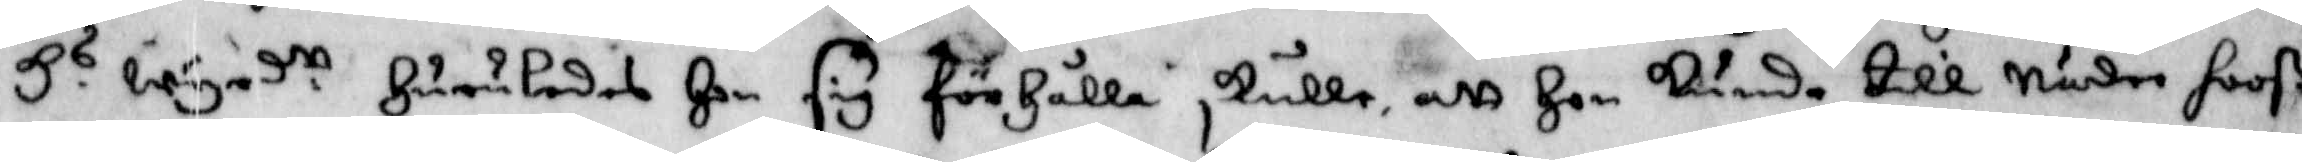H.s wyrd.tt Huruledes Hon sig förhålla skulle, att Hon kunde till Nåder hooß
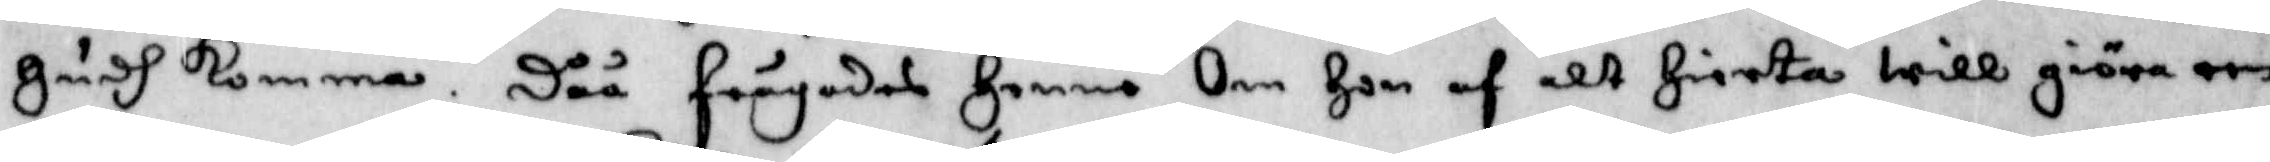Gudh komma. Dåå frågades Henne Om Hon af alt Hierta will giöra een
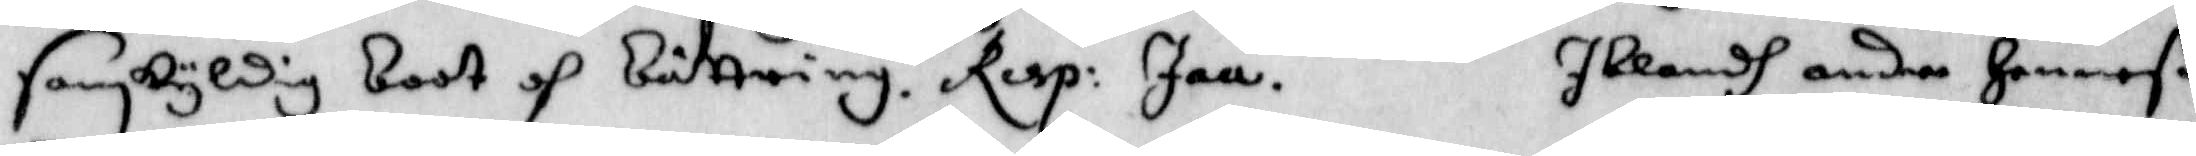sanskyldig boot och bättring. Resp: Jaa. Iblandh andra Henneß
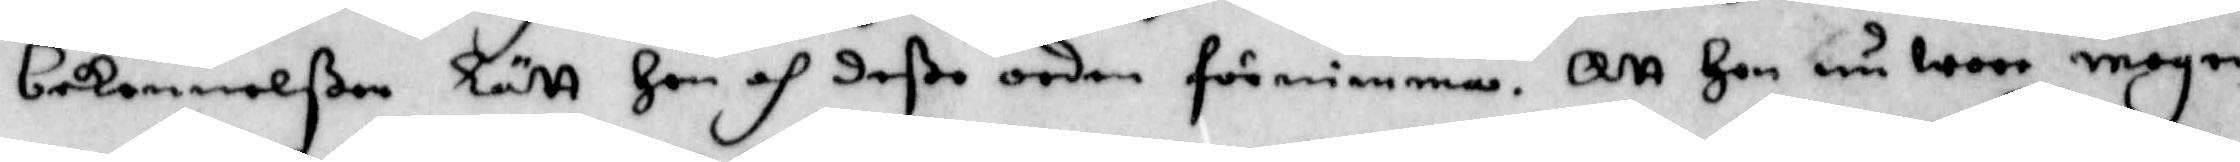bekennelße lätt Hon och deße orden förnimma. Att Hon nu wore mogen
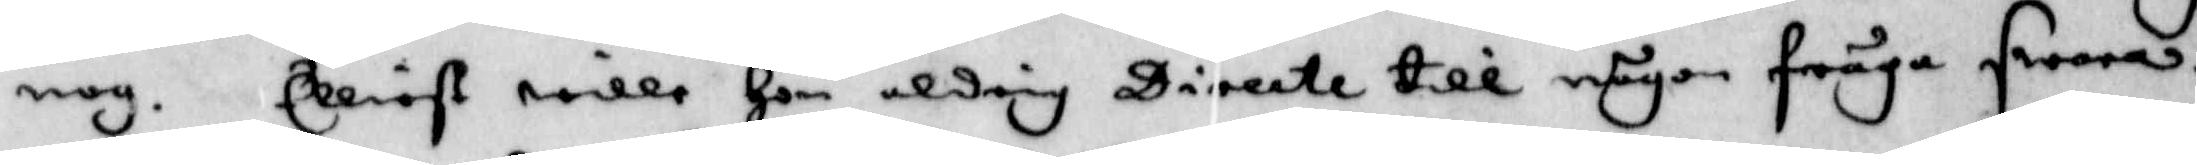nog. Elliest wille Hon aldrig Directe till någon fråga swara.
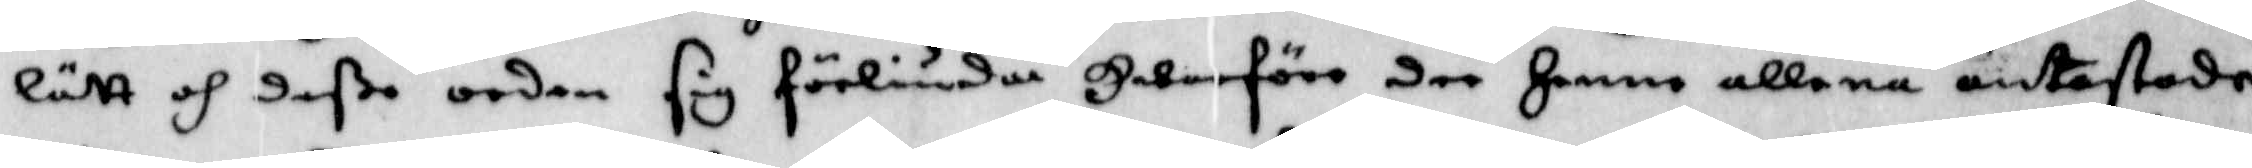Lätt och deße orden sig förliuda Hwarföre dee Henne allena antastade
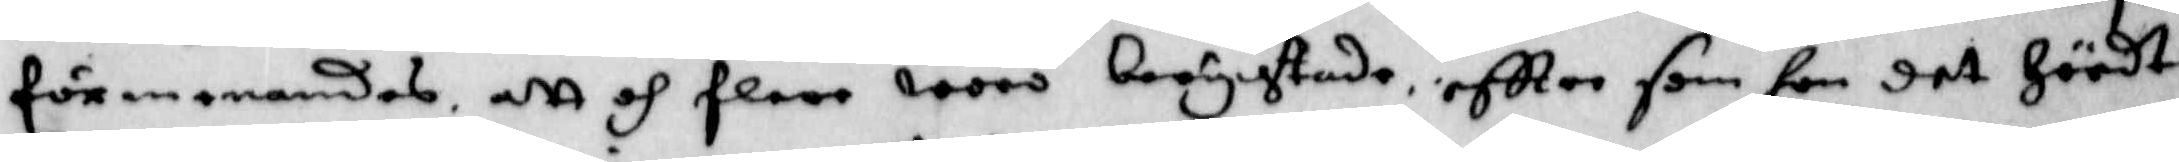förmanandes, att och flere woro berychtade, eftter som hon det Hördt.
